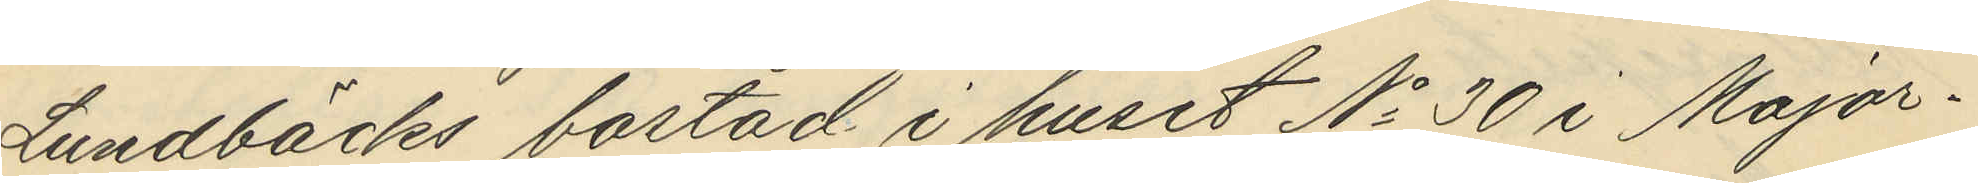Lundbäcks bostad i huset No 30 i Major¬
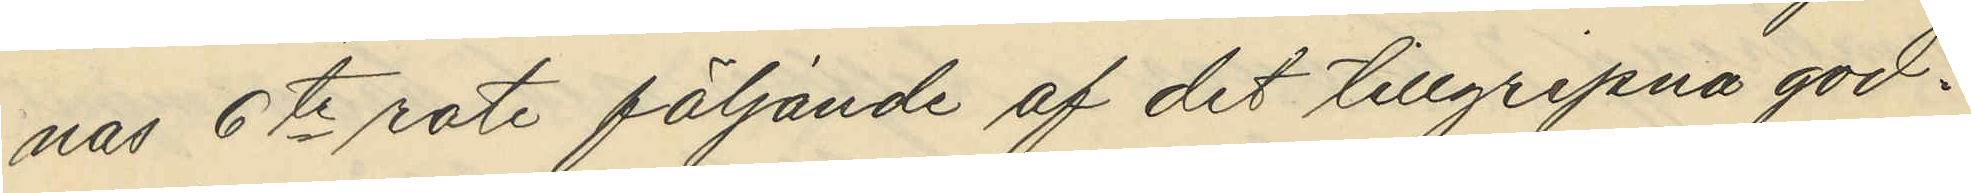nas 6te rote följande af det tillgripna god.
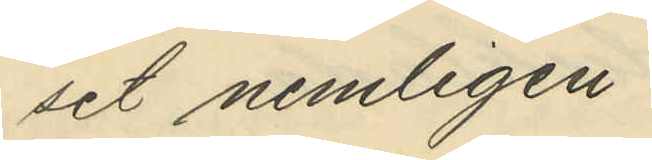set nemligen:
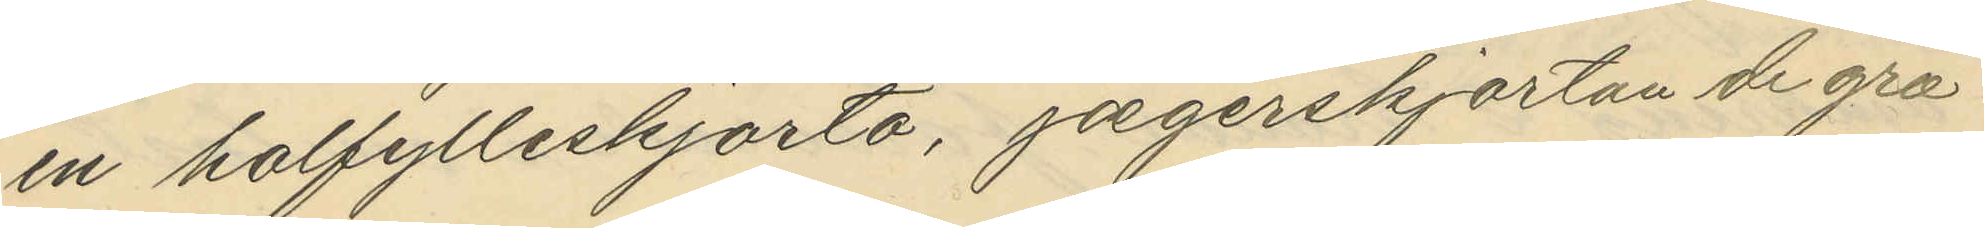en halfylleskjorta, jagerskjortan de grå
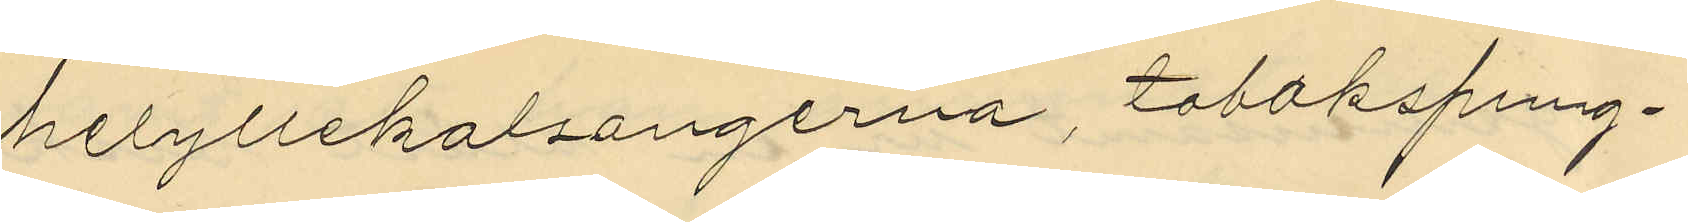helyllekalsängerna, tobakspung¬
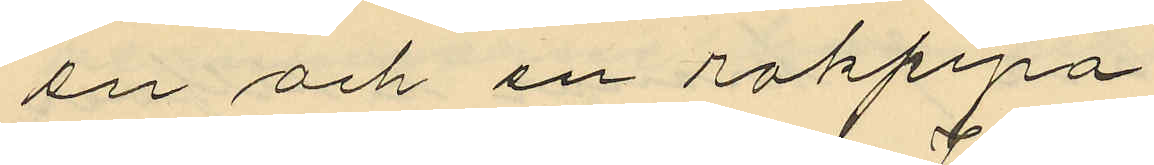en och en rökpipa.
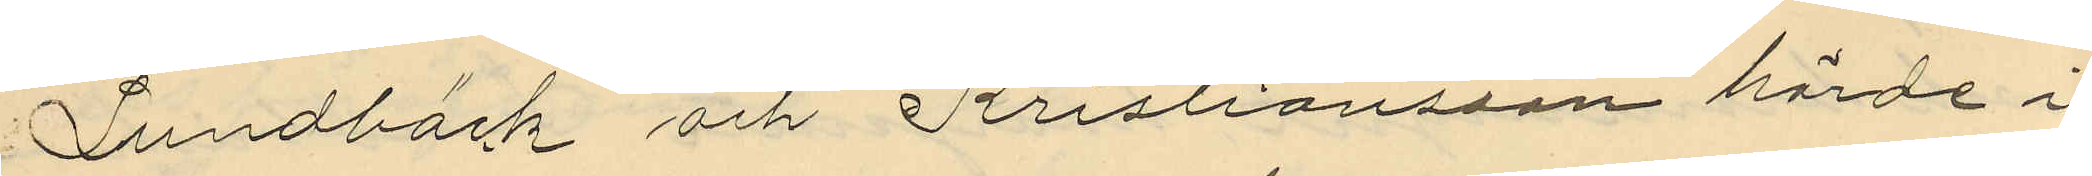Lundbäck och Kristiansson hörde i
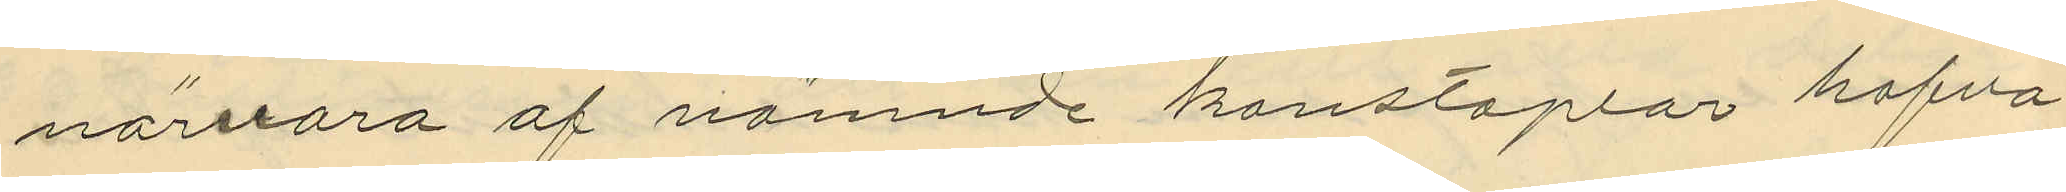närvara af nämnde konstaplar hafva
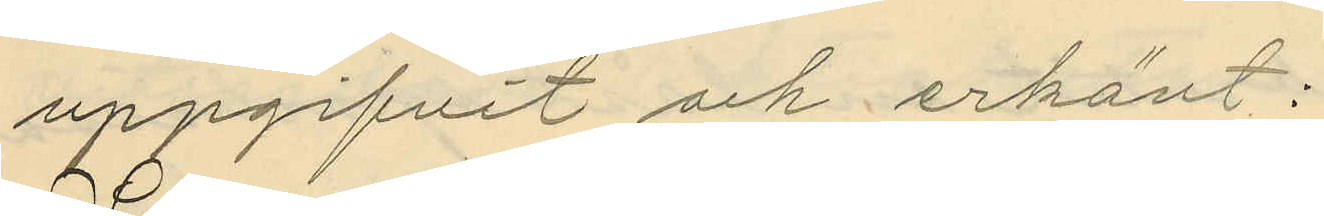uppgifvit och erkänt:
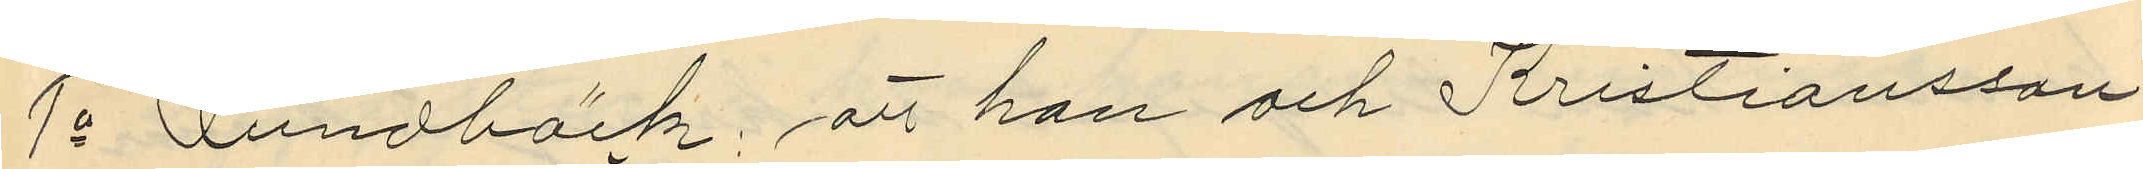1o Lundbäck, att han och Kristiansson
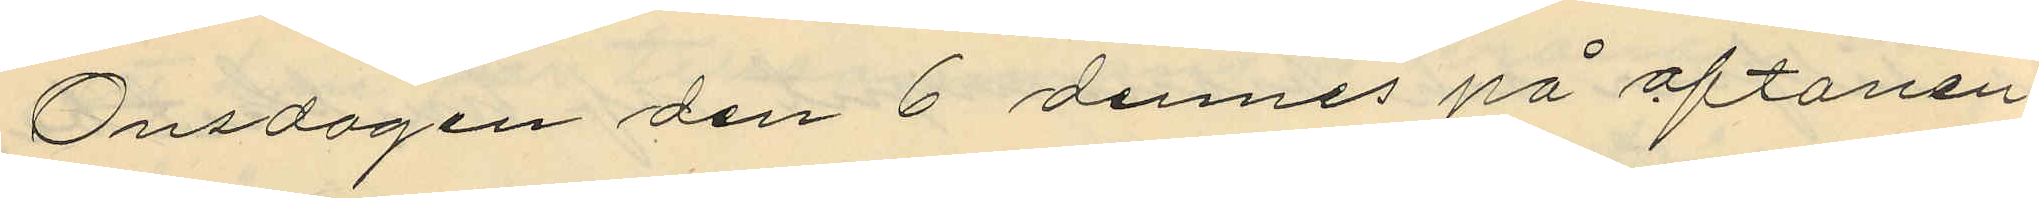Onsdagen den 6 dennes på aftonen,
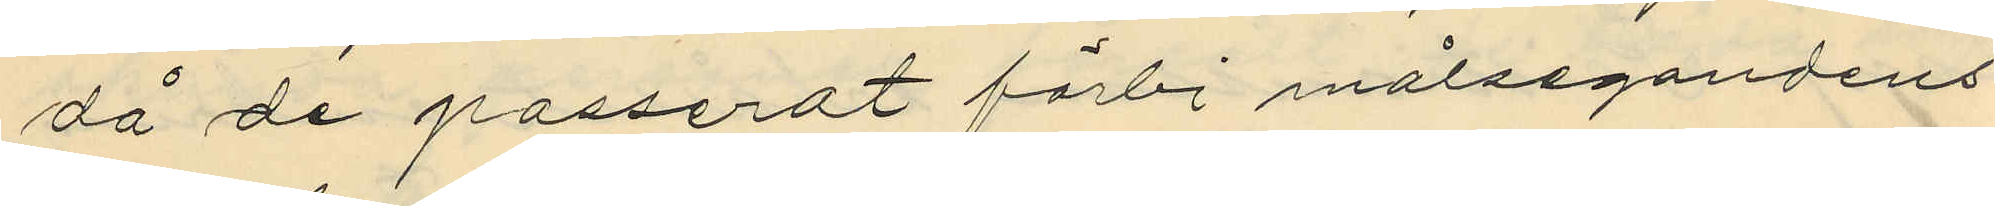då de passerat förbi målsegandens
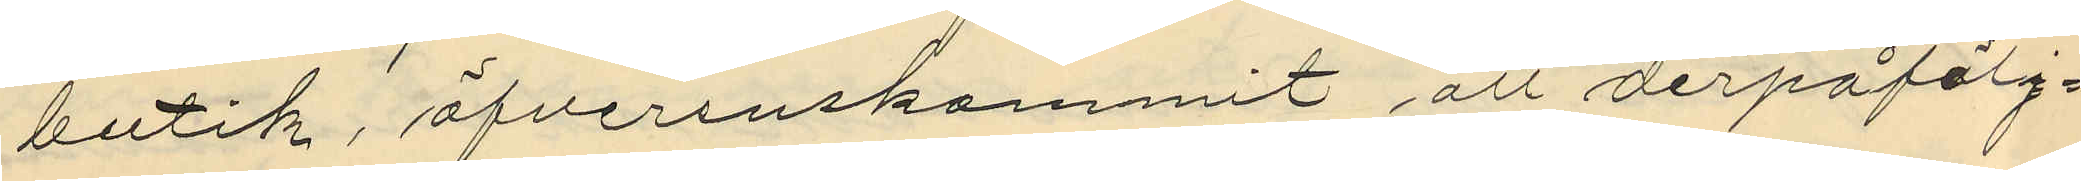butik, öfverenskommit att derpåfölj¬
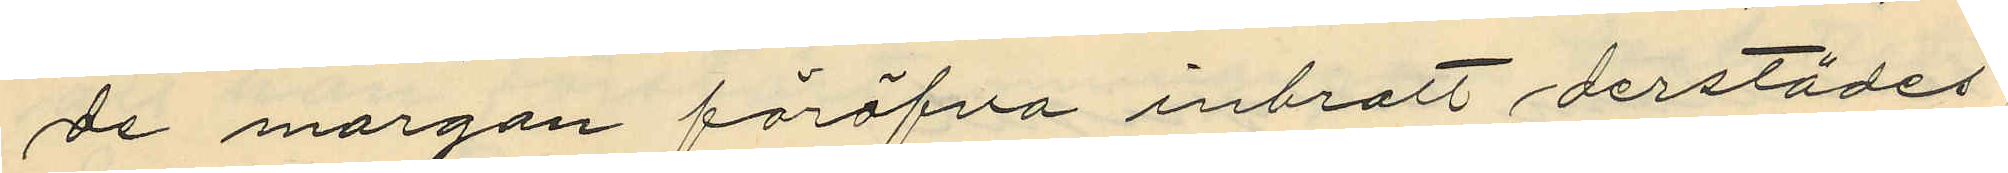de morgon föröfva inbrott derstädes
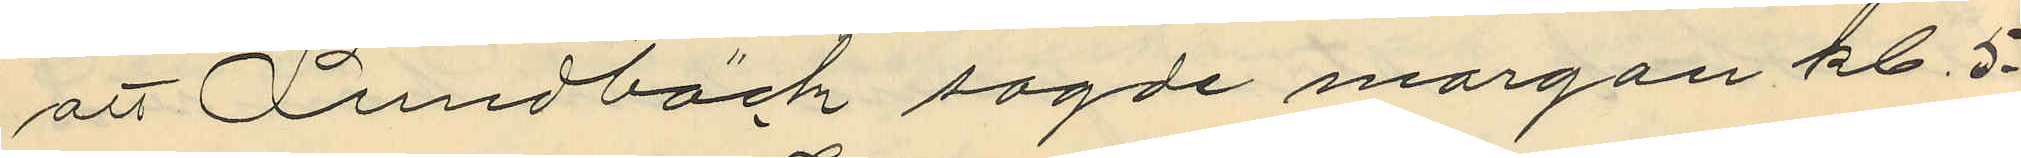att Lundbäck sagde morgon kl. 5-
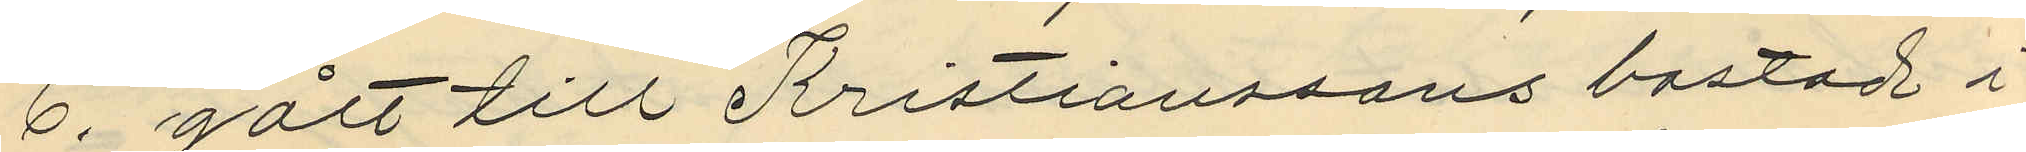6. gått till Kristianssons bostad i
